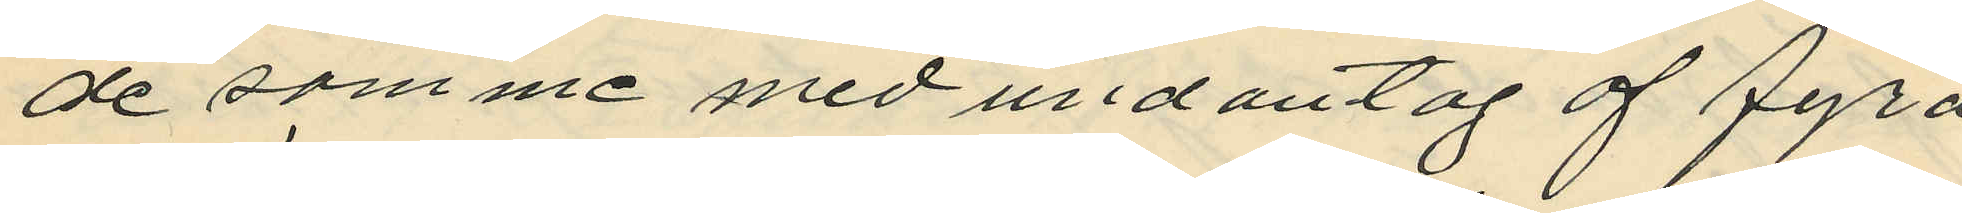de som me med undantag af fyra
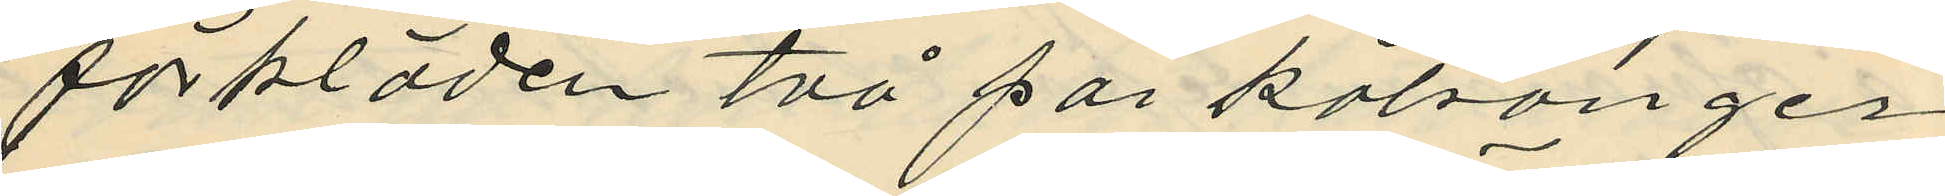förkläden två par kalsonger
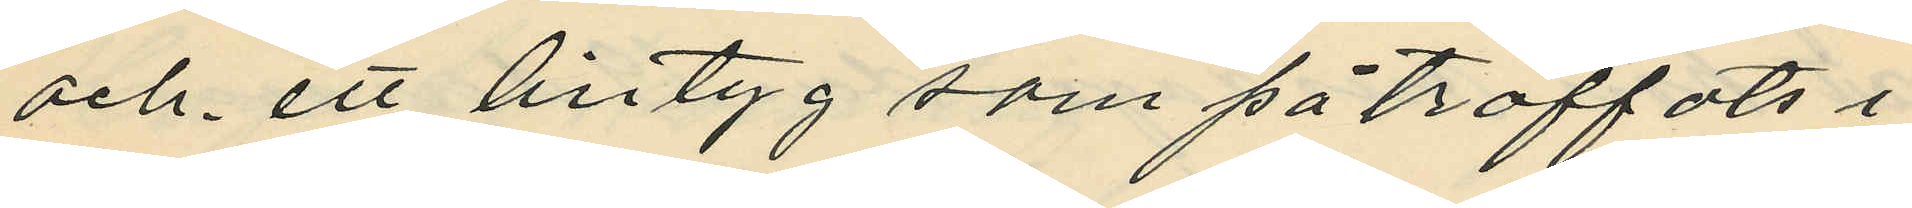och ett lintyg som påträffats i
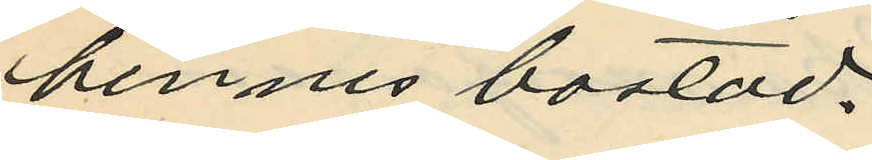hennes bostad,
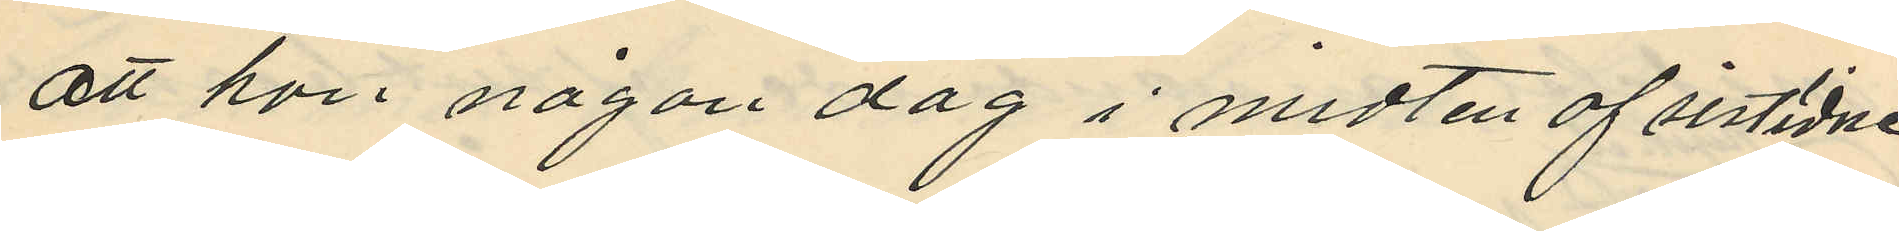att hon någon dag i midten af sistidne
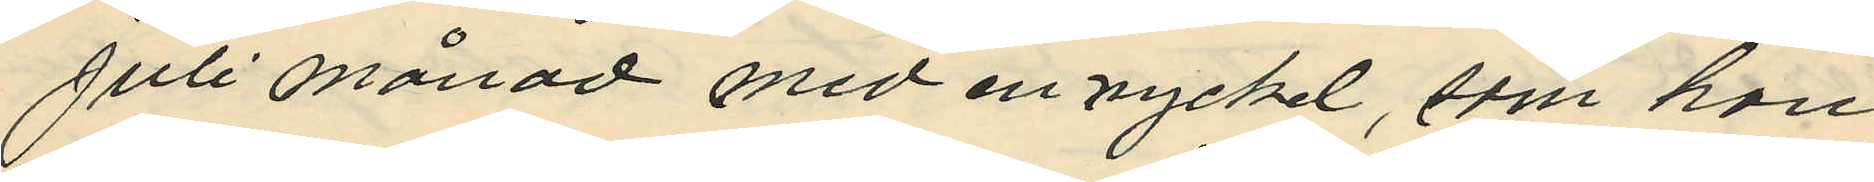Juli månad med en nyckel, som hon
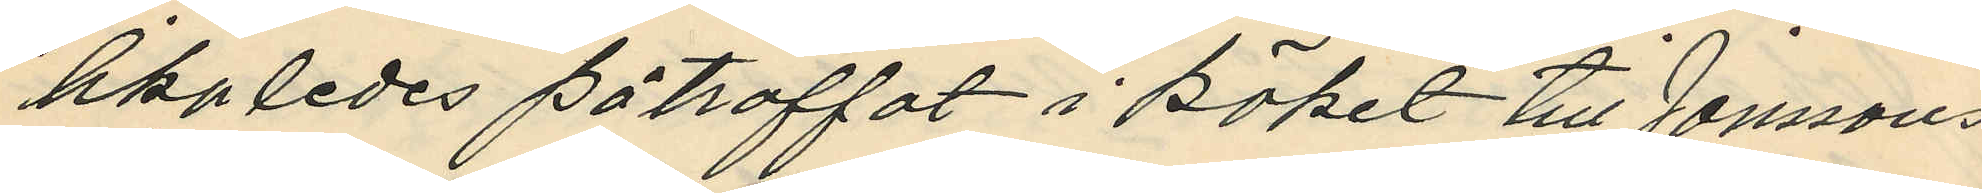likaledes påträffat i köket till Jonssons
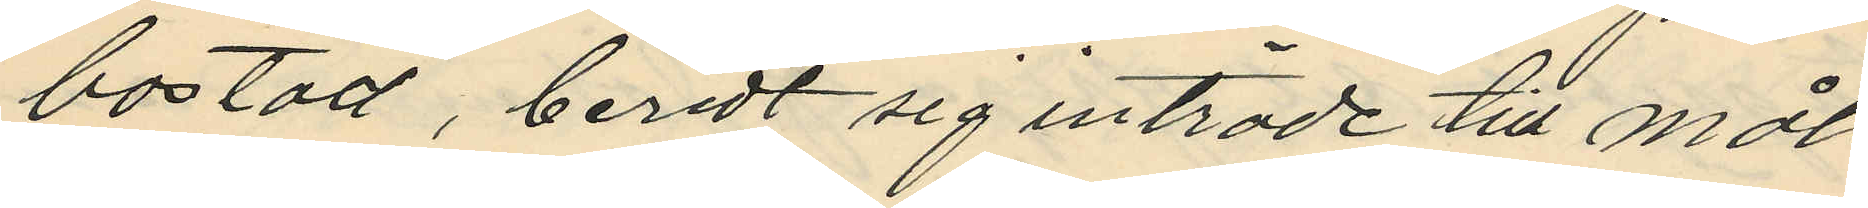bostad, beredt sig inträde till måls
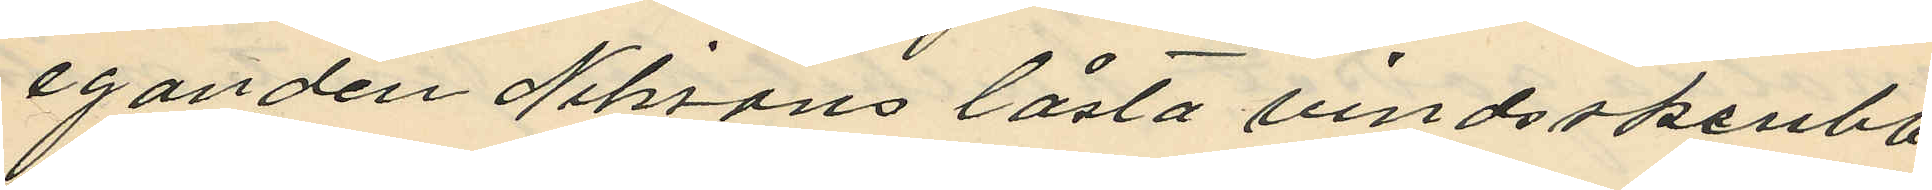eganden Nilssons låsta vindsskrubb,
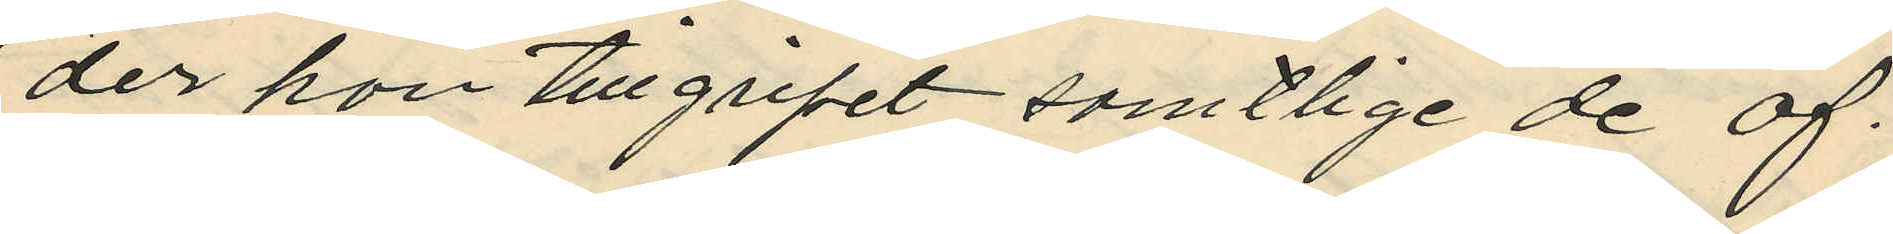der hon tillgripit samtlige de af
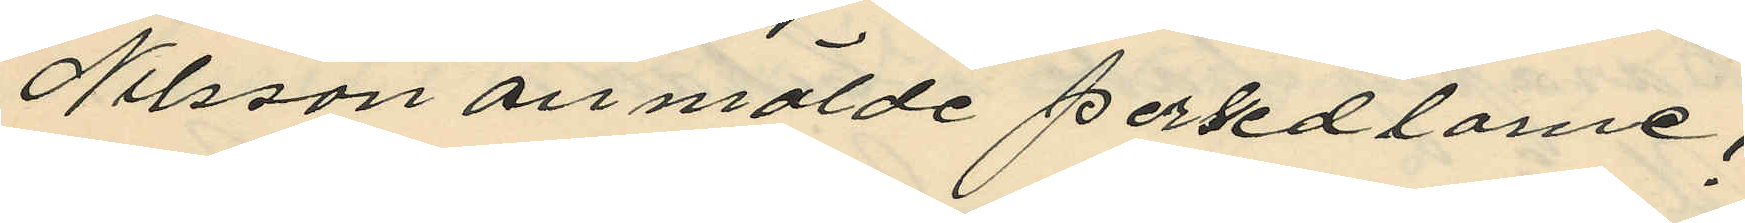Nilsson anmälde persedlarne;
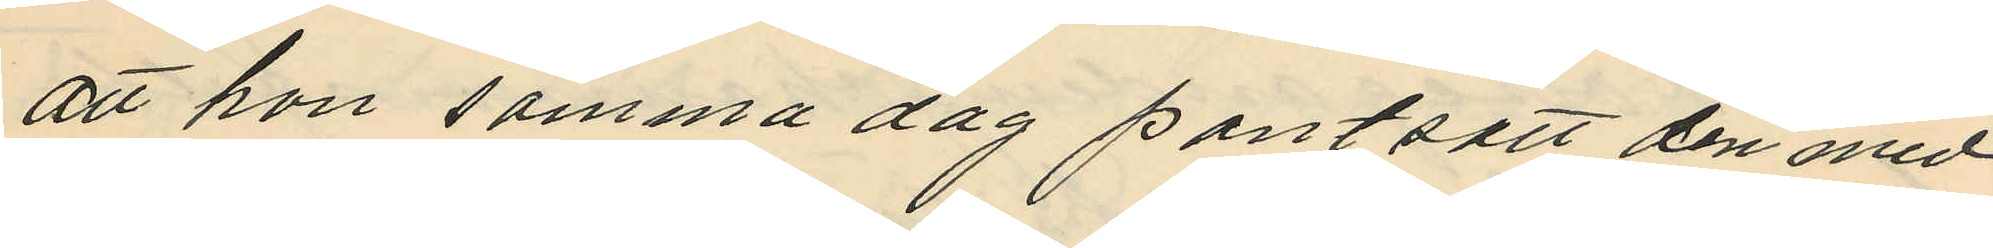att hon samma dag pantsatt den med
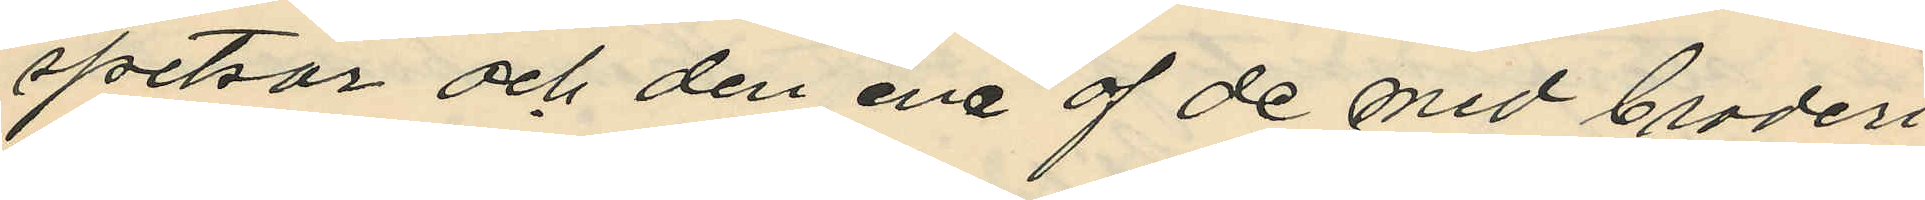spetsar och den ena af de med broderi
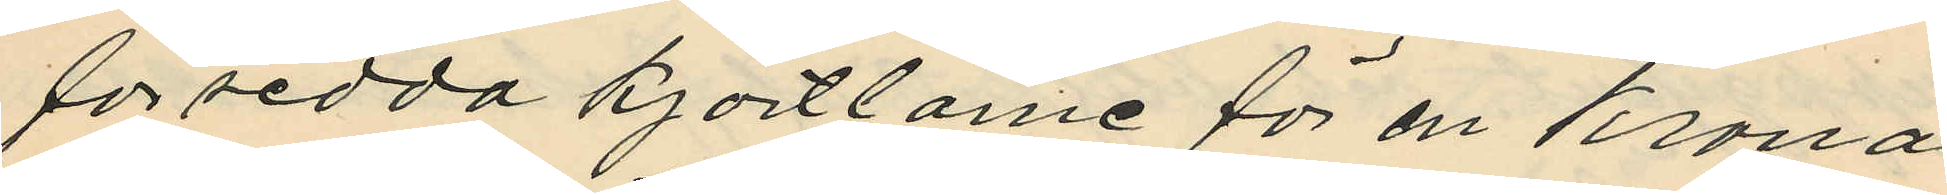försedda kjortlarne för en Krona
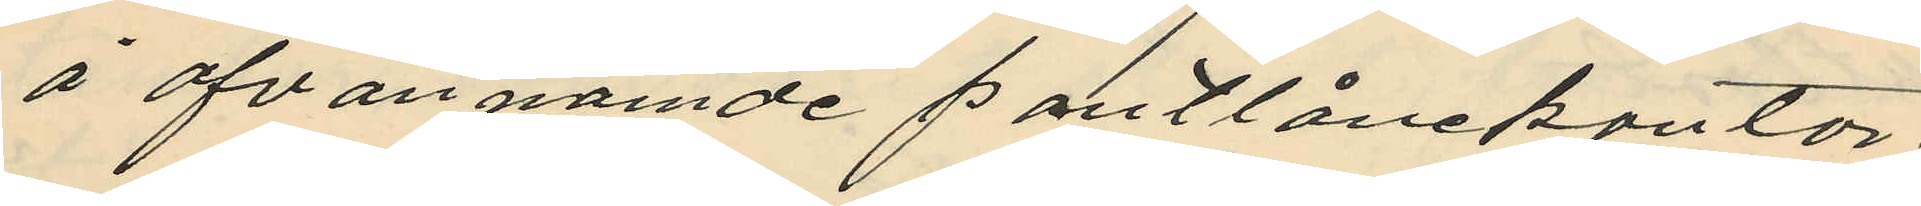å ofvannämde pantlånekontor;
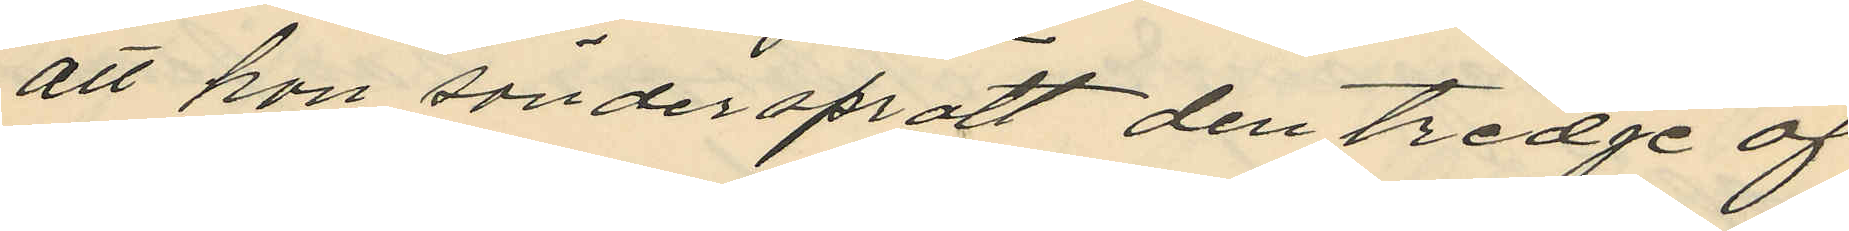att hon söndersprätt den tredje af,
